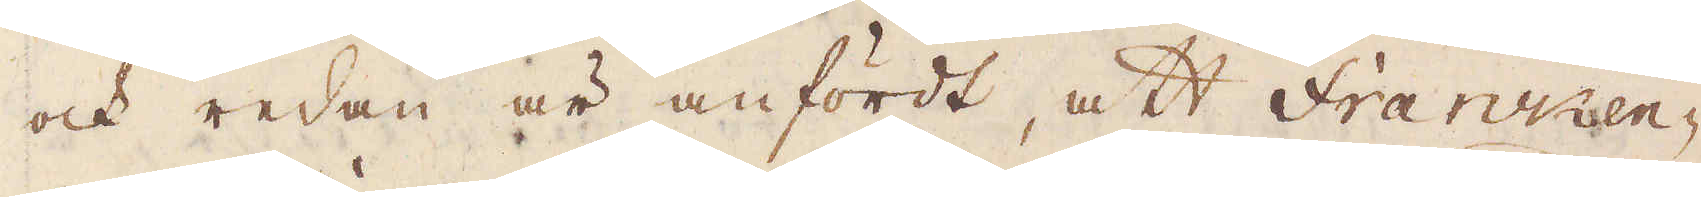och redan är anfördt, att Fransen-
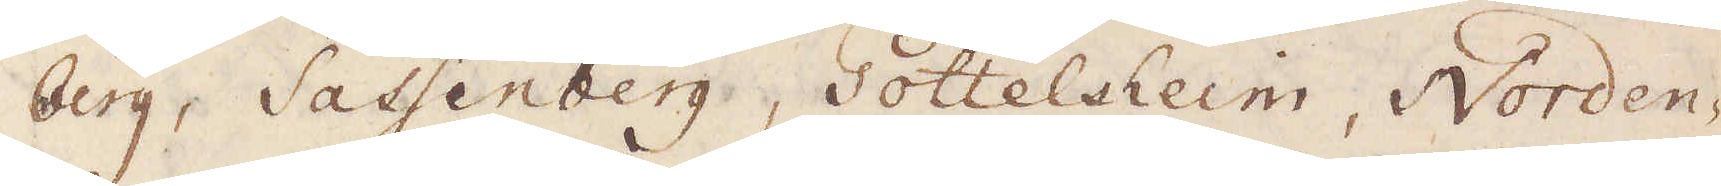berg, Satsenberg, Gottelseim, Norden
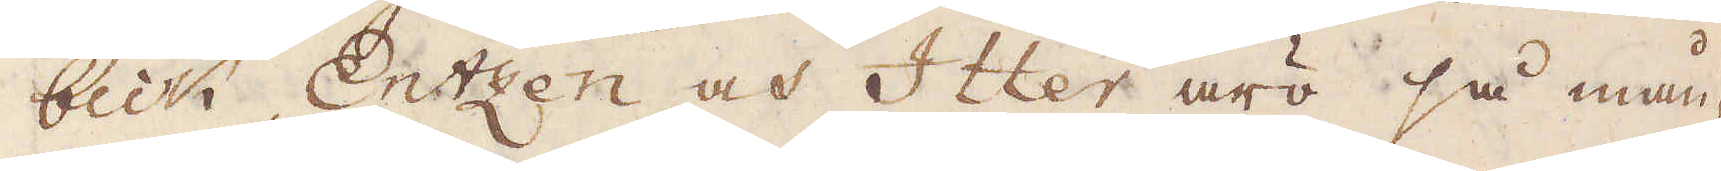beck, Entzen och Itter äro så mån-
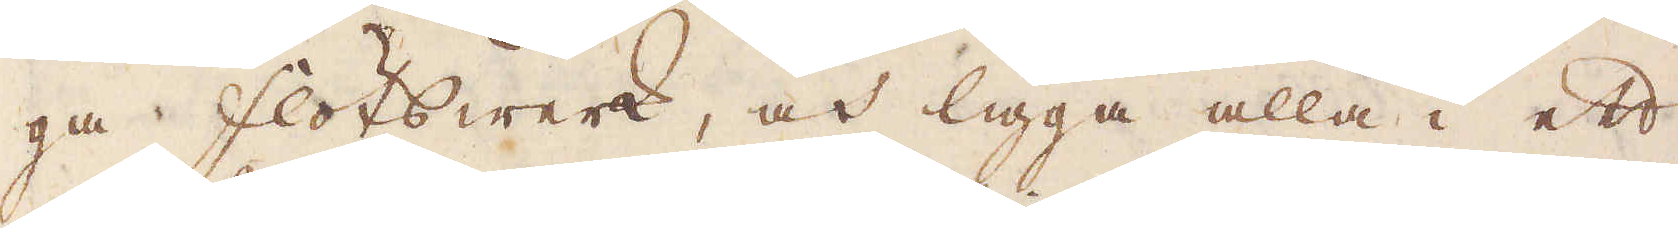ga flötswerk, och ligga alla i ett
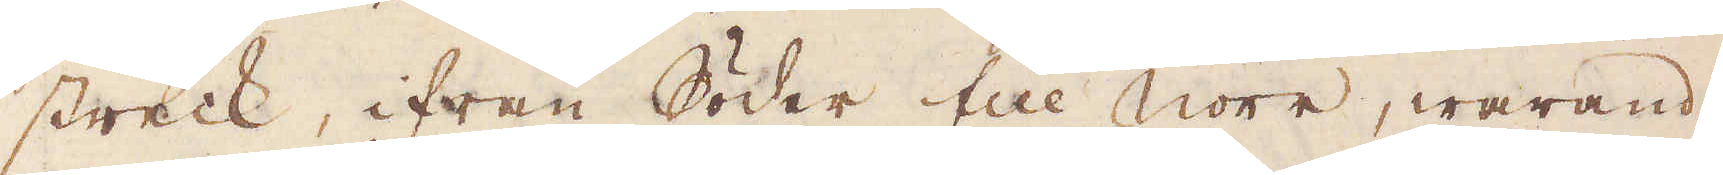streck, ifrån Söder till Norr, warande
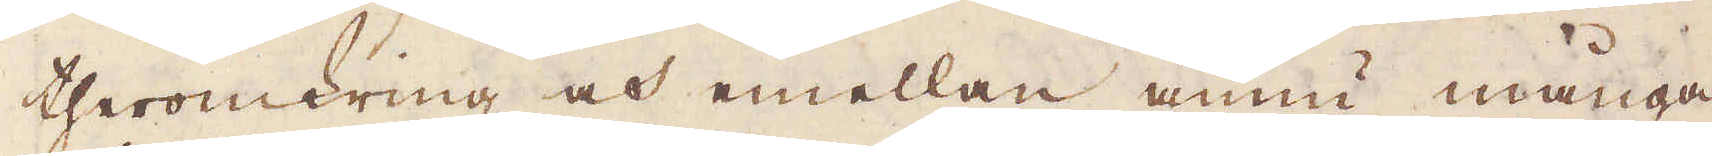theromkring och emellan ännu många
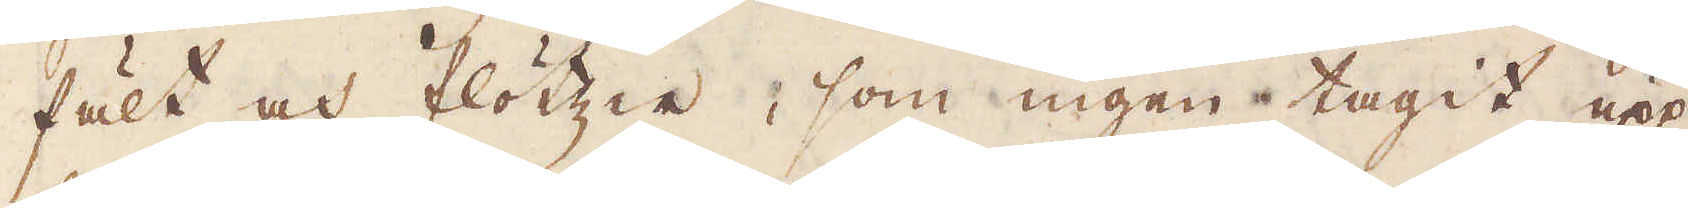fält och flötter, som ingen tagit upp
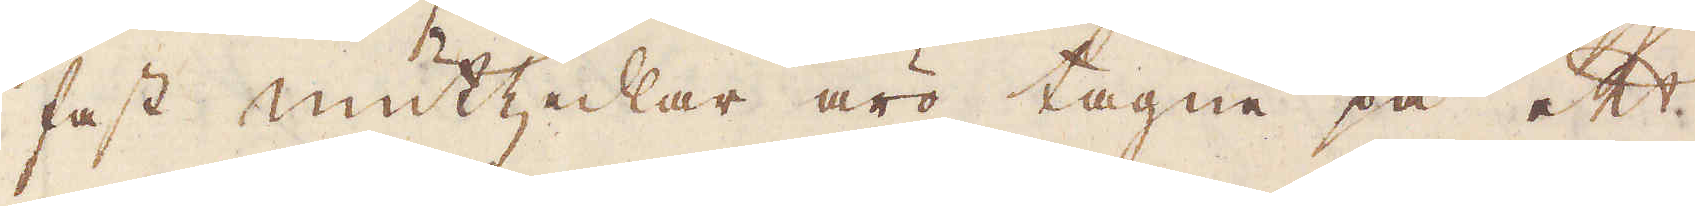fast mutzedlar äro tagne på ett
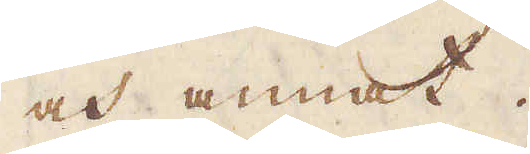och annat.
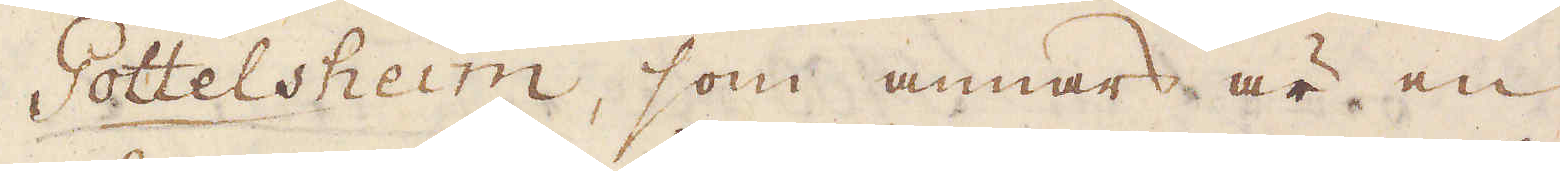Pottelsheim, som annars är en
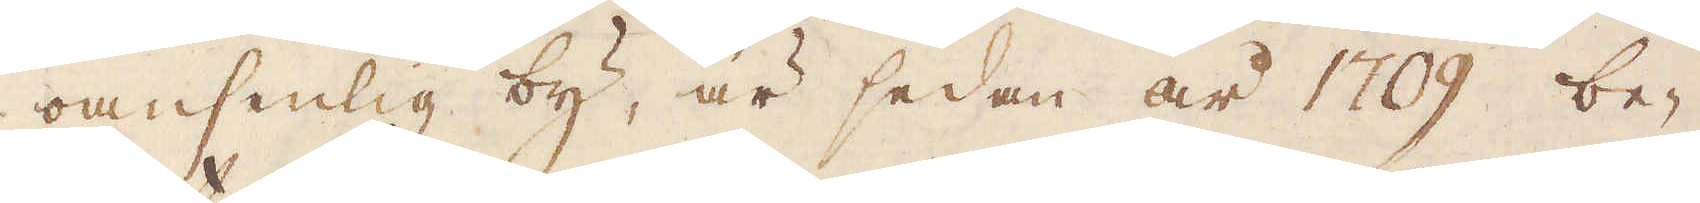oansenlig by, är sedan år 1709 be-
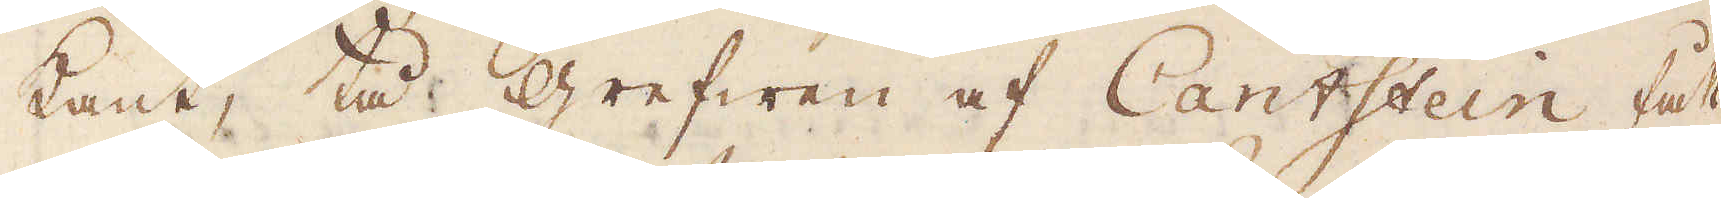kant, tå grefwen af Cantstein fått
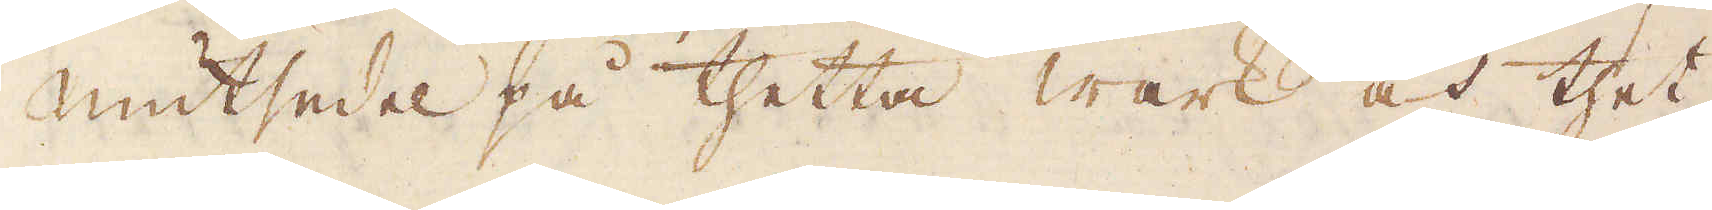Mutsedel på thetta wärk och thet
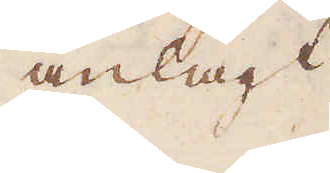anlagt
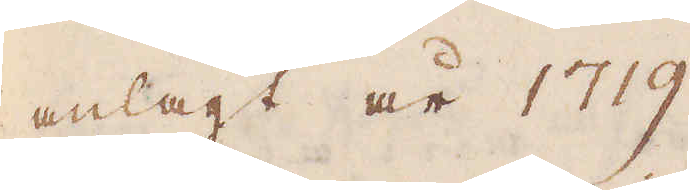anlagt år 1719.
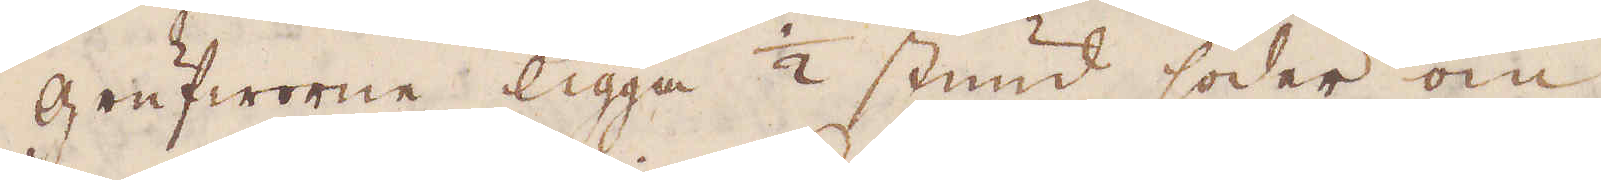grufworne ligga 1/2 stund söder om
